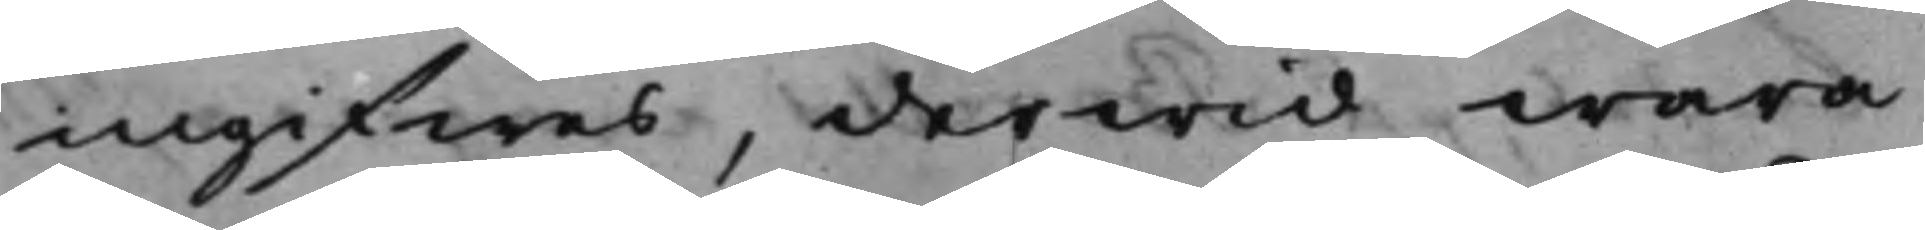ingifwes, derwid wara
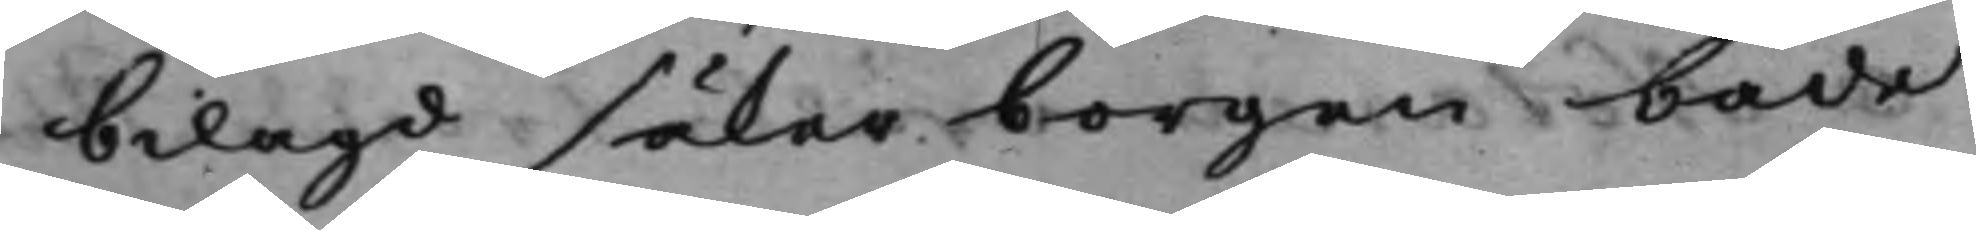bilagd säker borgen både
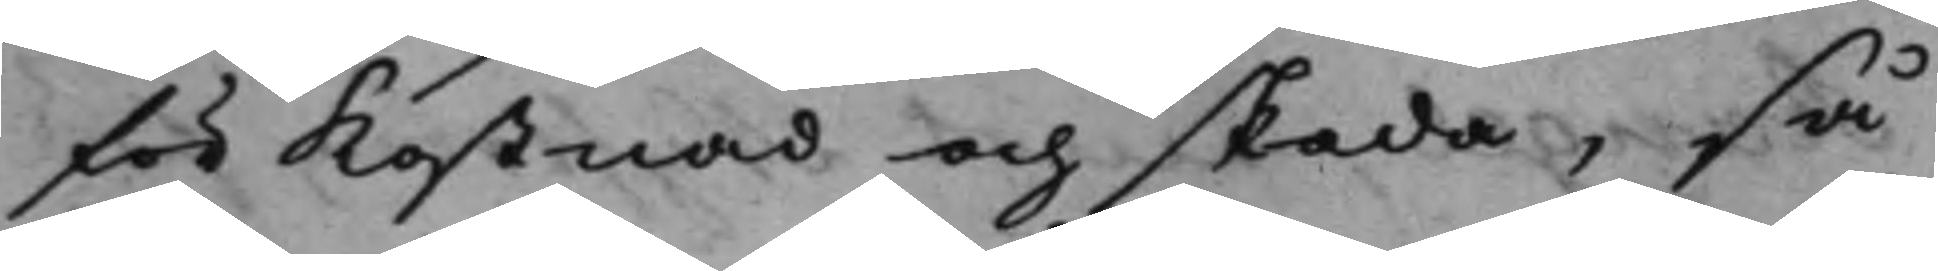för kostnad och skada, så¬
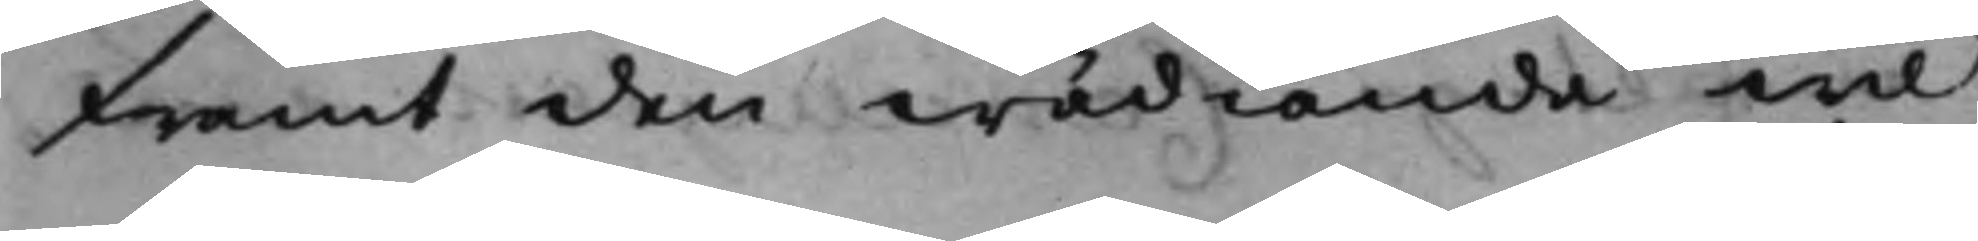framt den wädiande wil
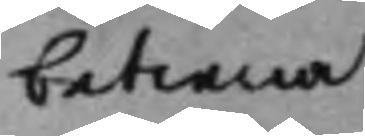betiena
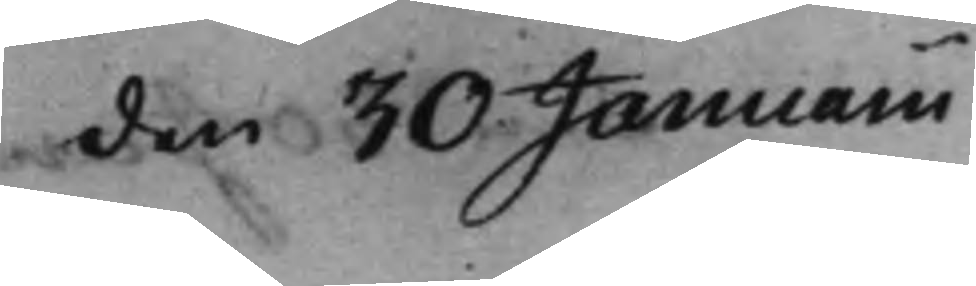den 30 Januarii
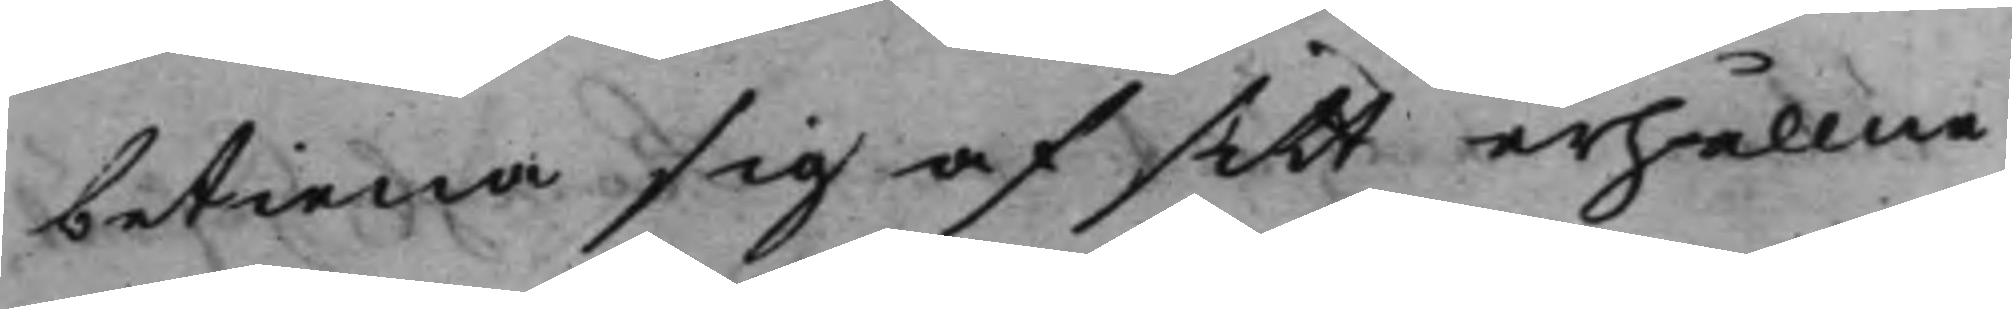betiena sig af sitt erhållne
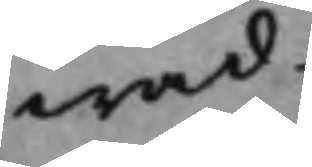wad.
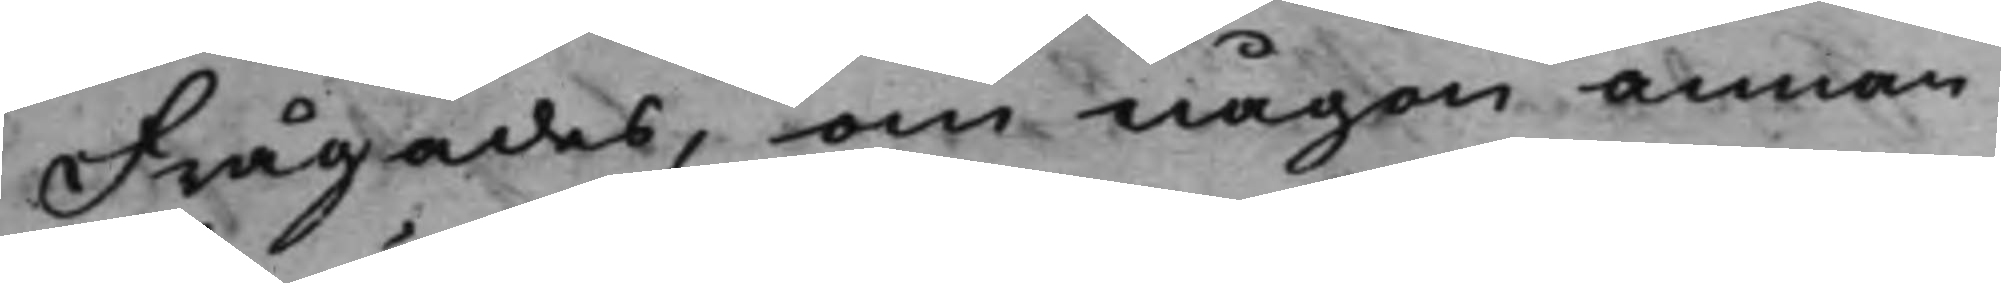Frågades, om någon annan
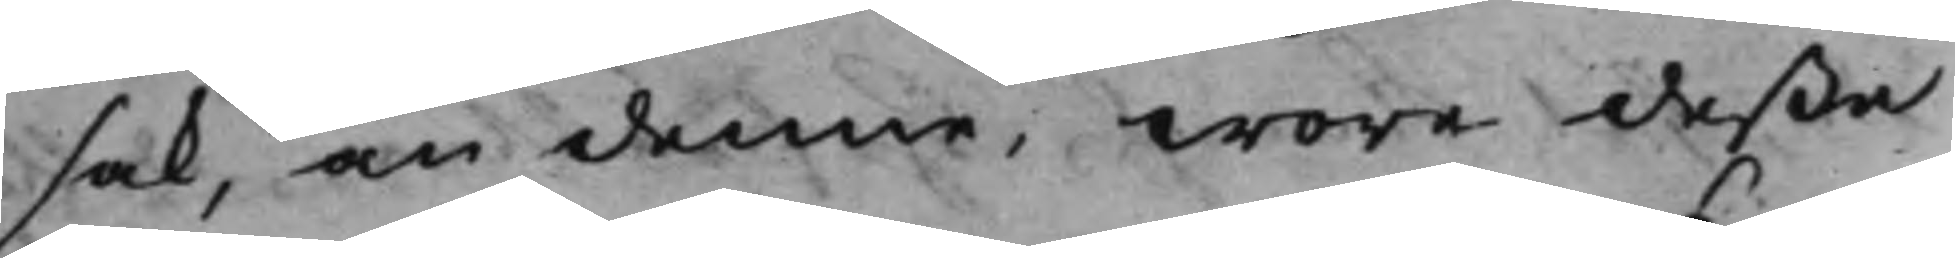sak, än denne, wore deße
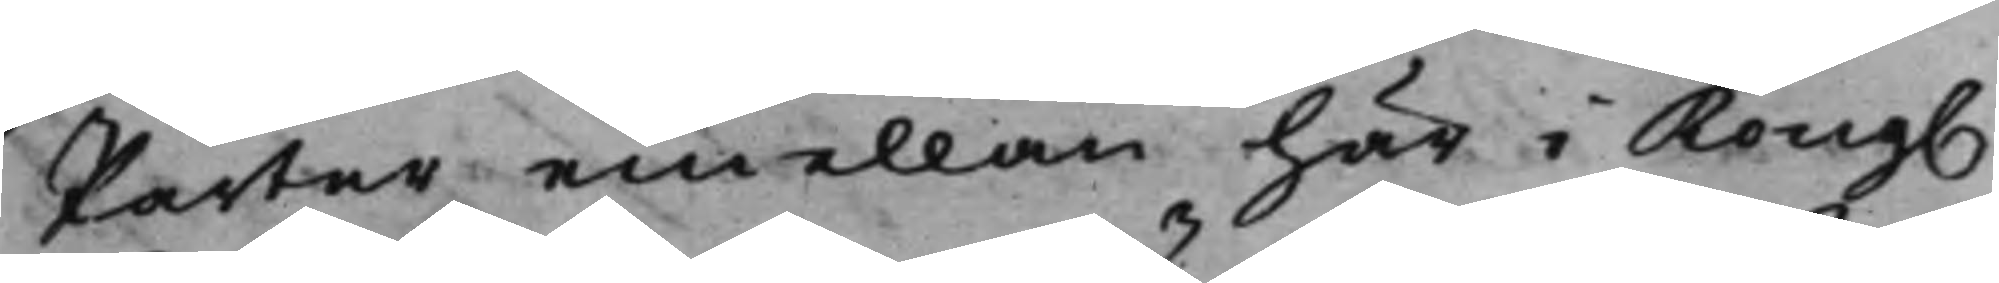Parter emellan här i Kong.
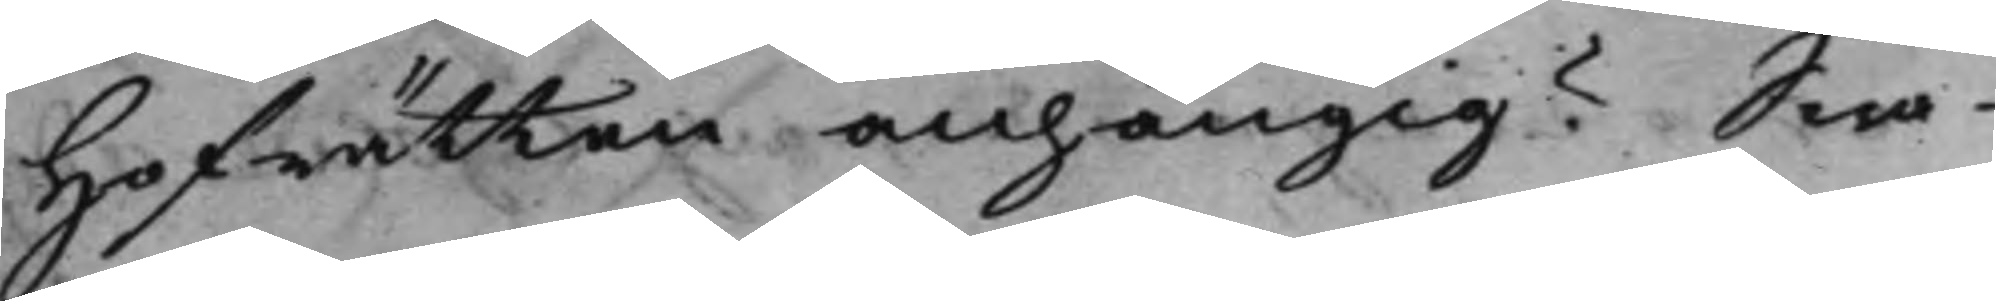Hofrätten anhängig? Swa¬
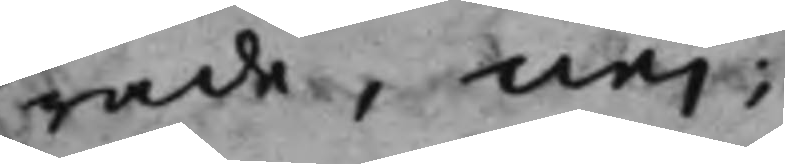rade, nej;
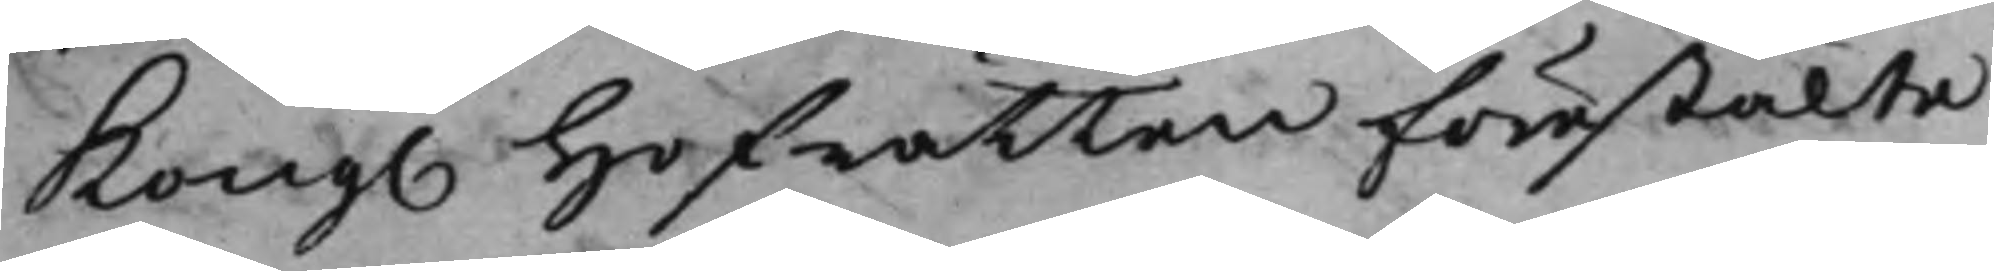Kong. Hofrätten förestälte
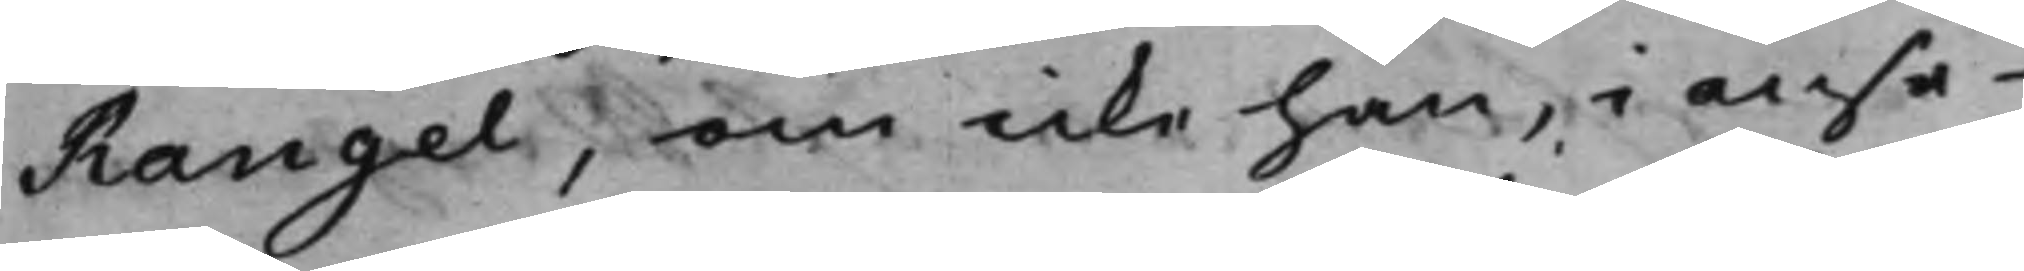Rangel, om icke han, i anse¬
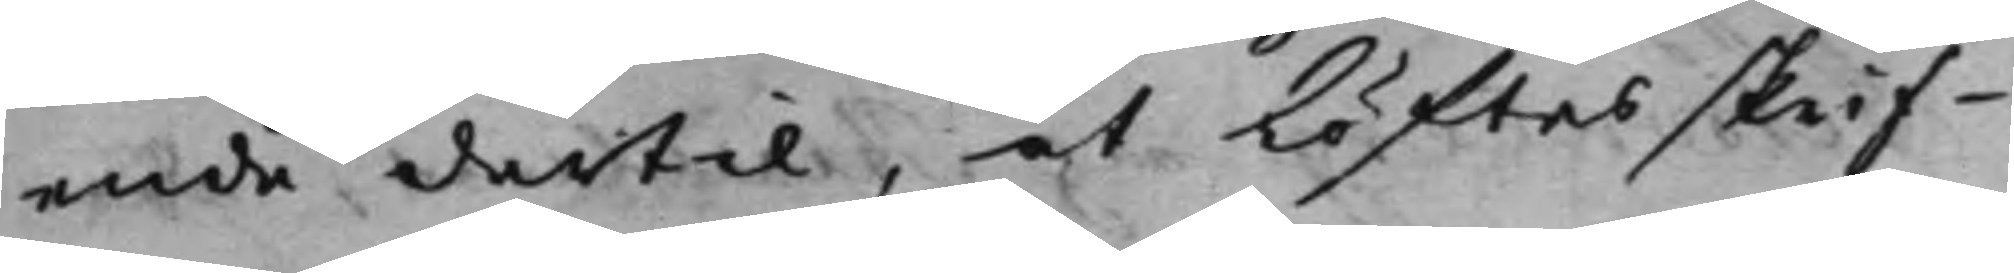ende dertil, at Löftesskrif¬
